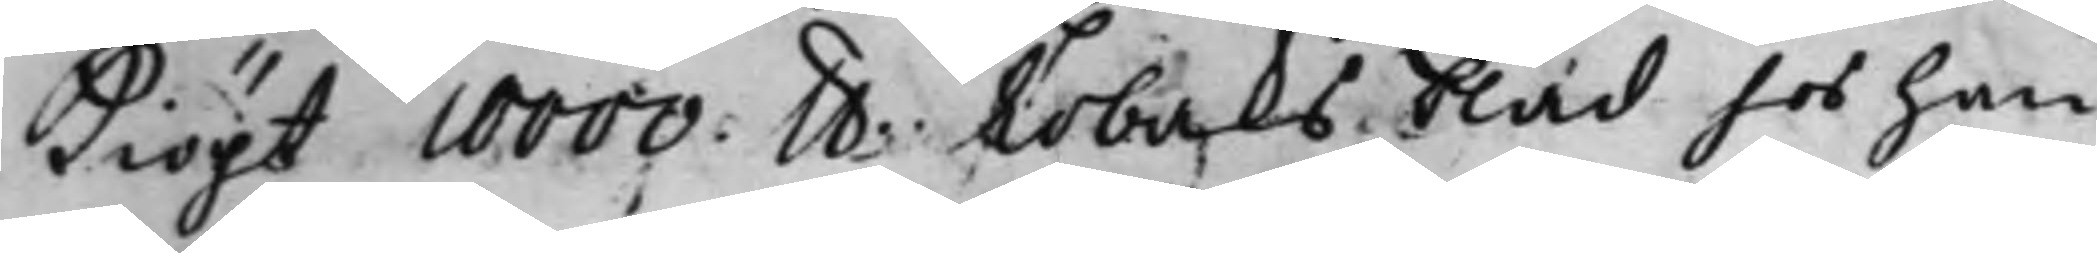Kiöpt 10000. lb. Tobaksblad hos han¬
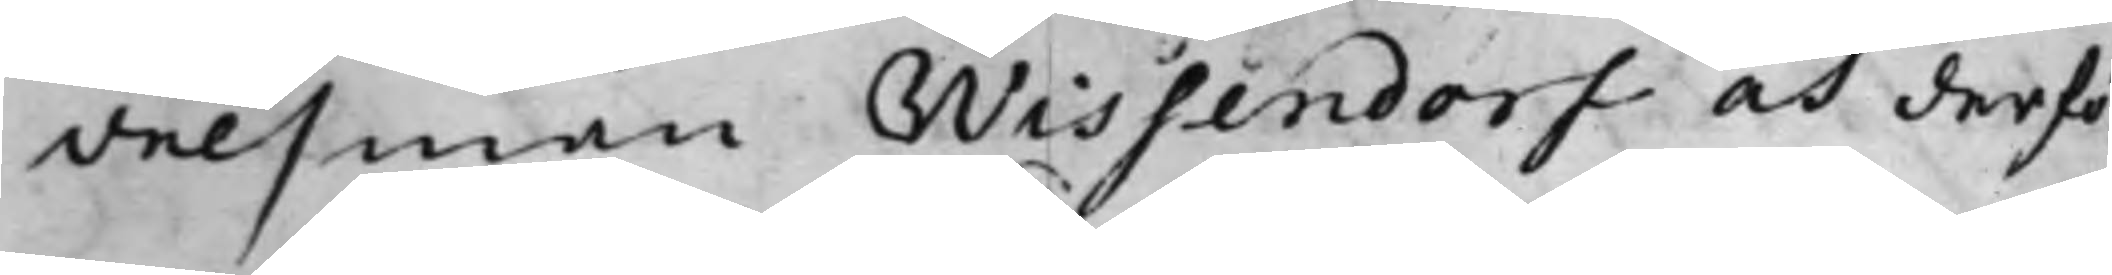delsman Wissendorf och derfö¬
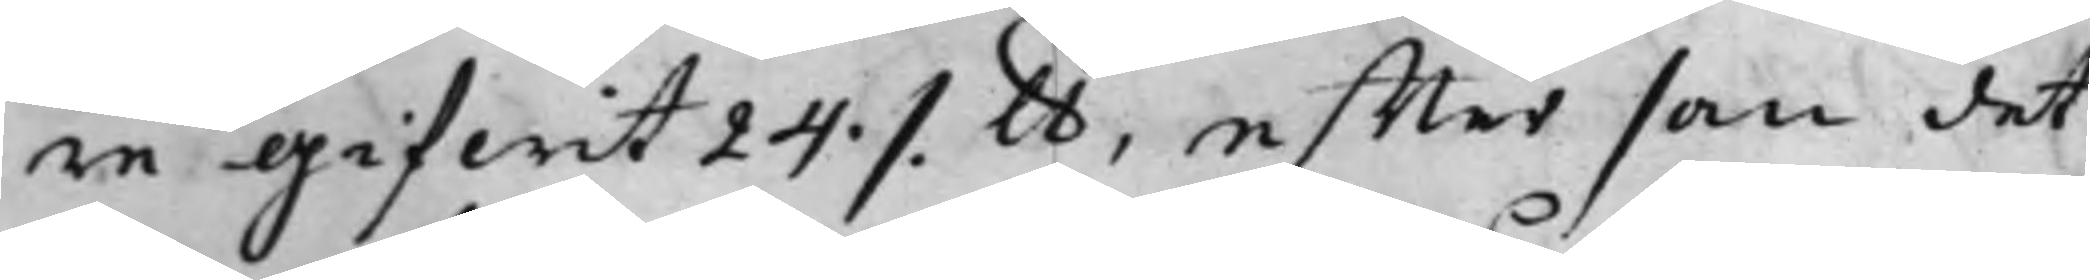re gifwit 24 ./. lb, effter som det
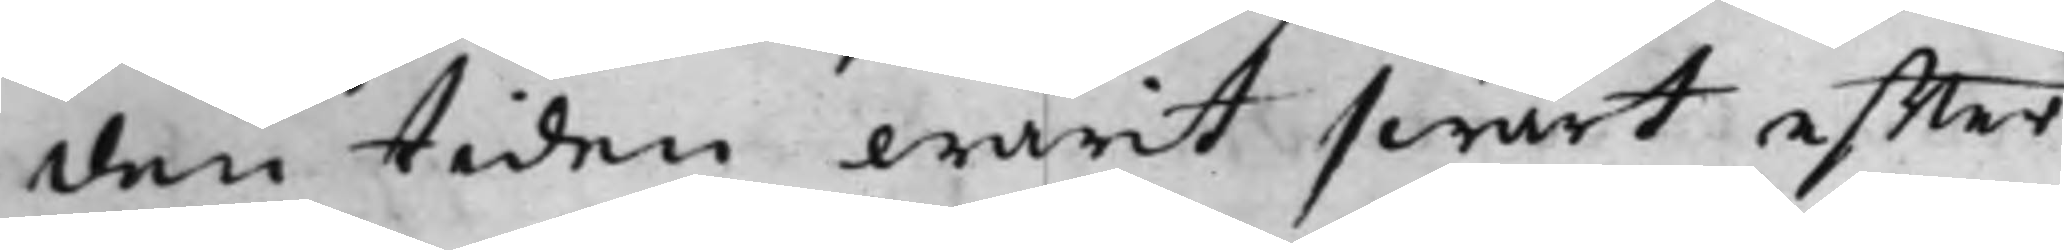den tiden warit swårt effter
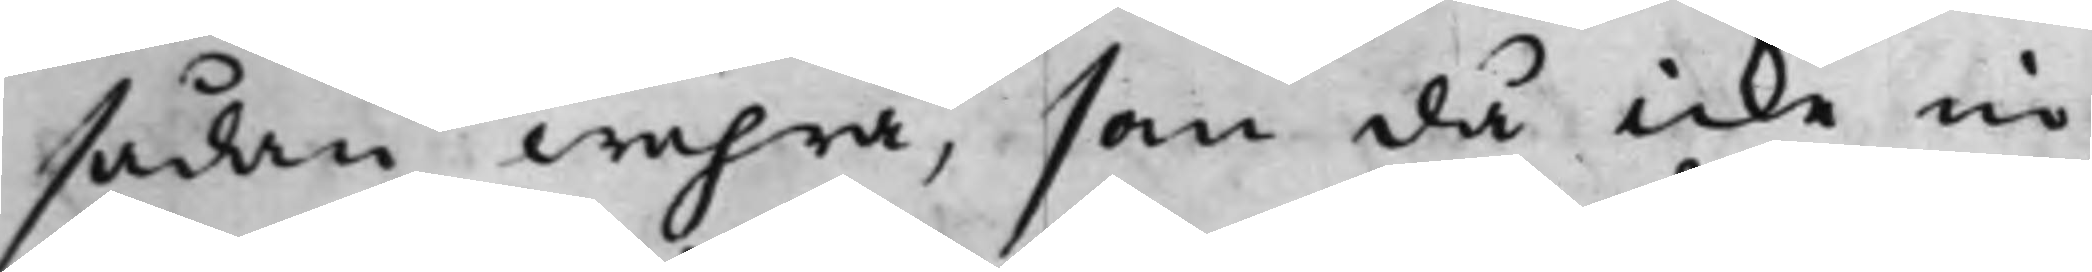sådan wahra, som då icke in¬
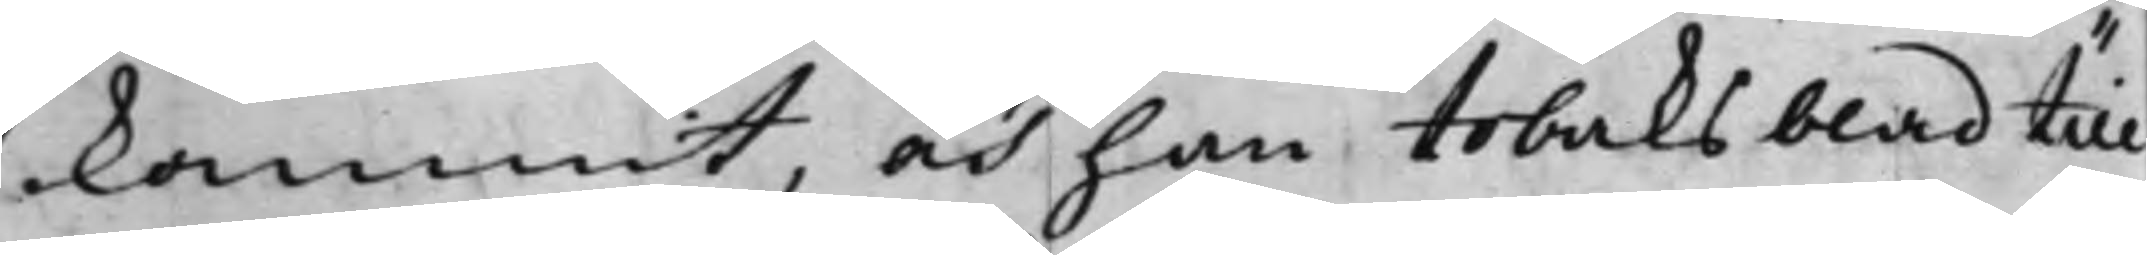kommit, och han tobaksblad till
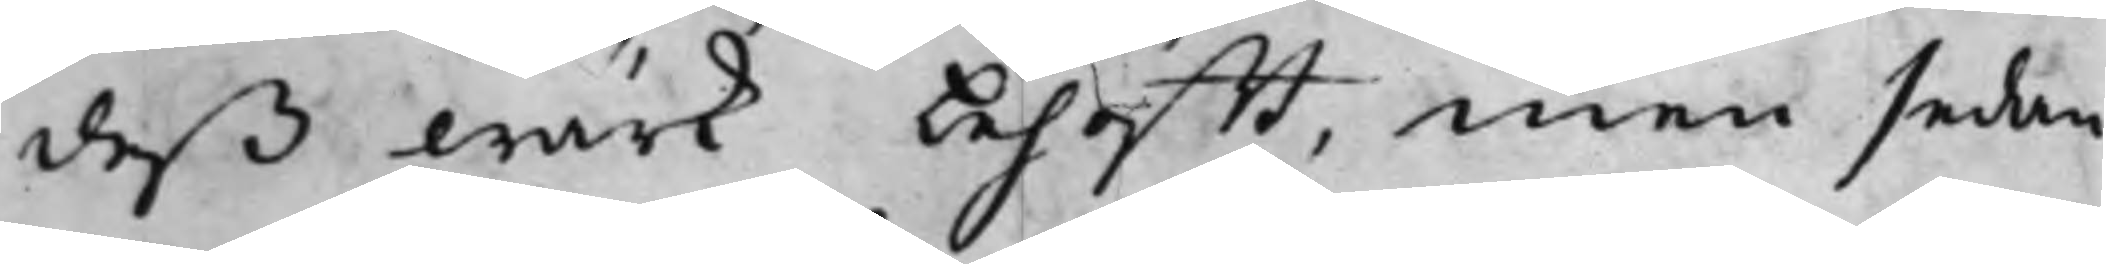deß wärk behöfft, men sedan
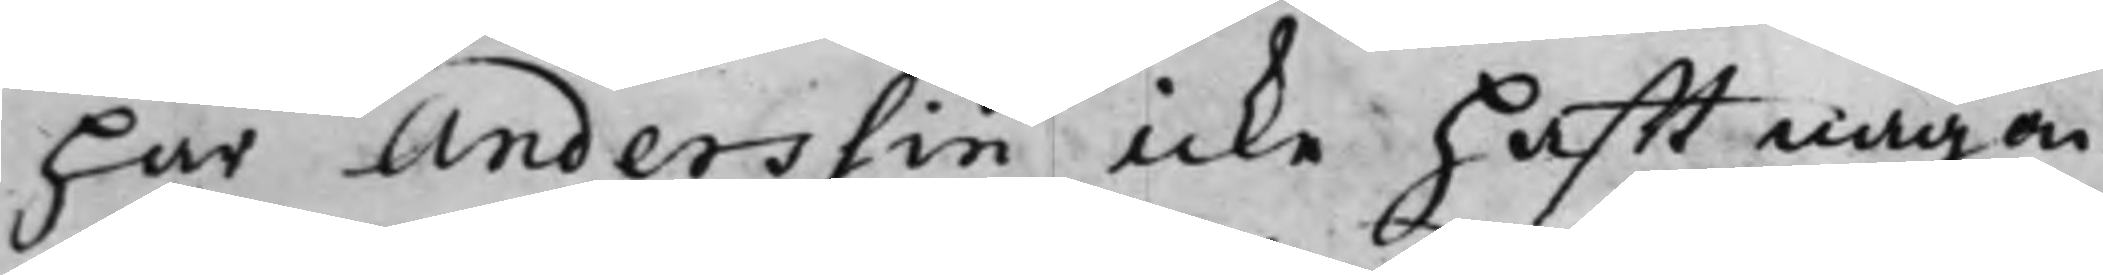har Anderssin icke hafft nagon
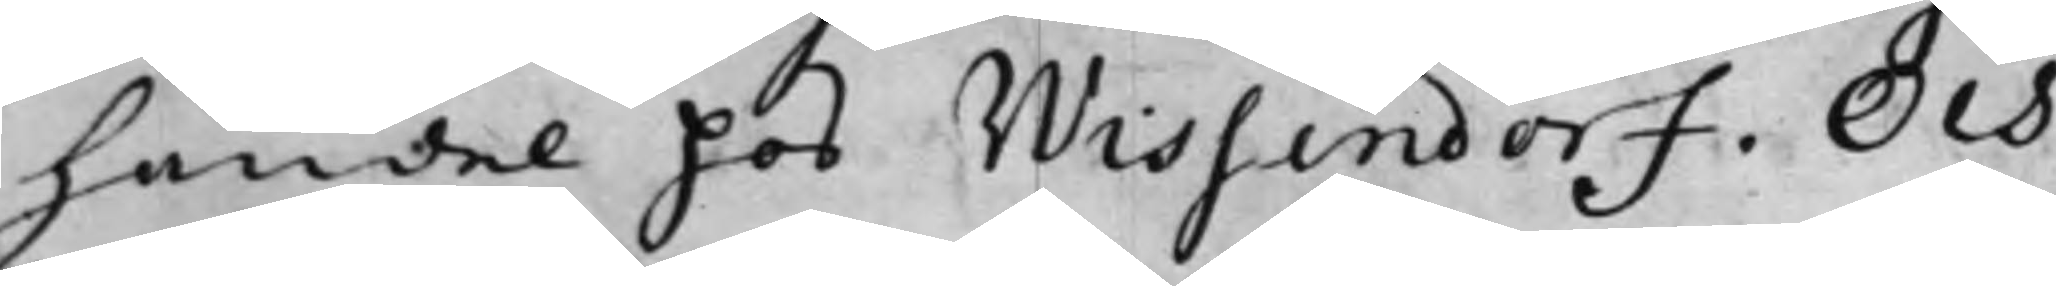Handel hos Wissendorf. Och
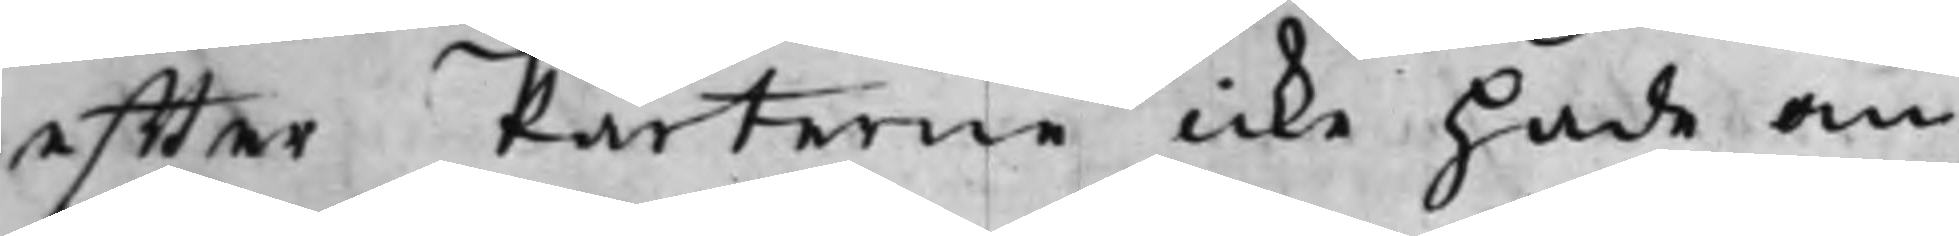effter Parterne icke hade om
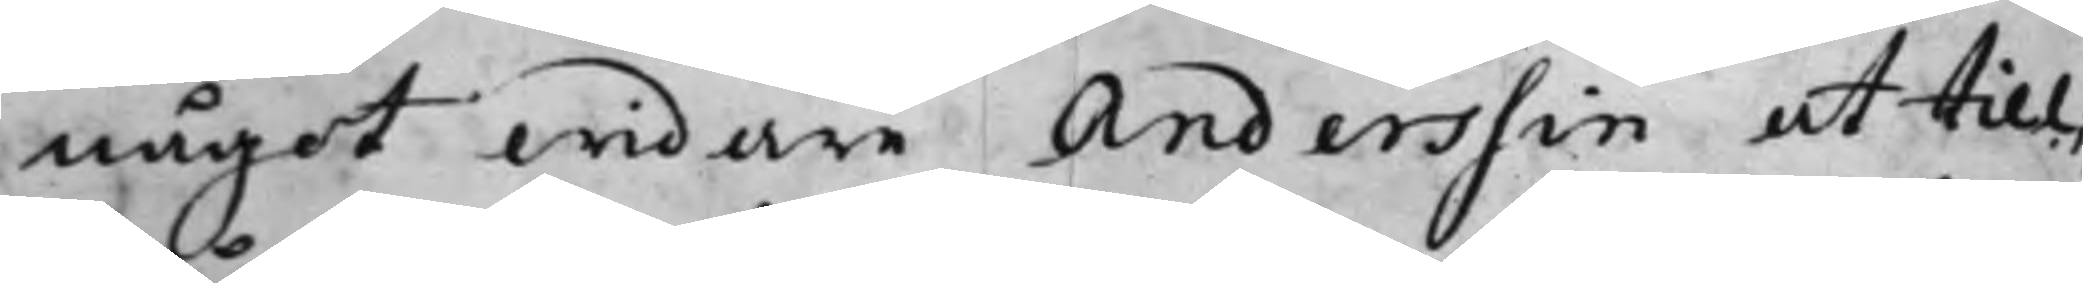något widare Anderssin at till¬
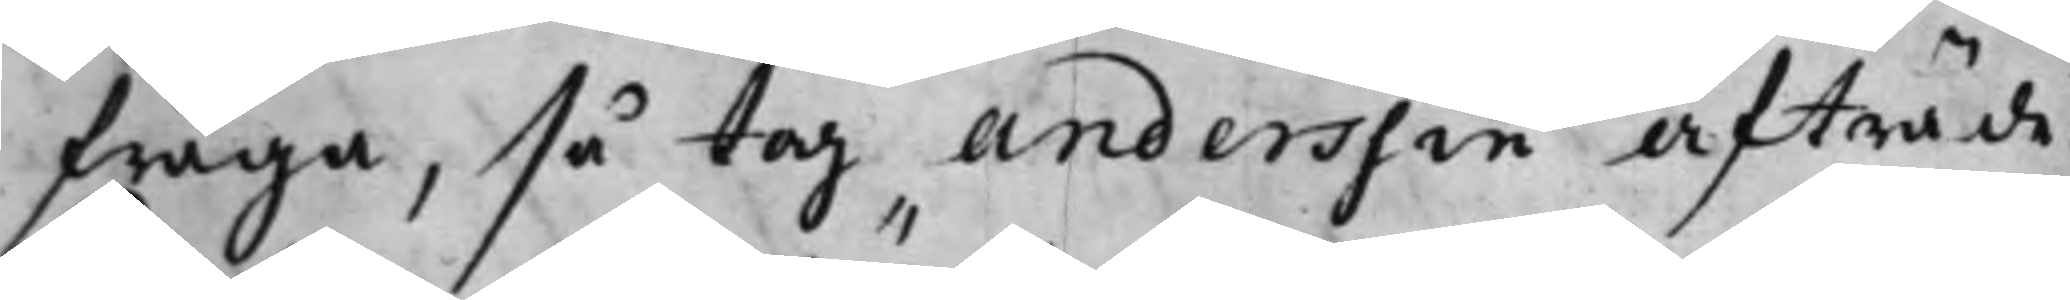fråga, så tog Anderssin Afträde.
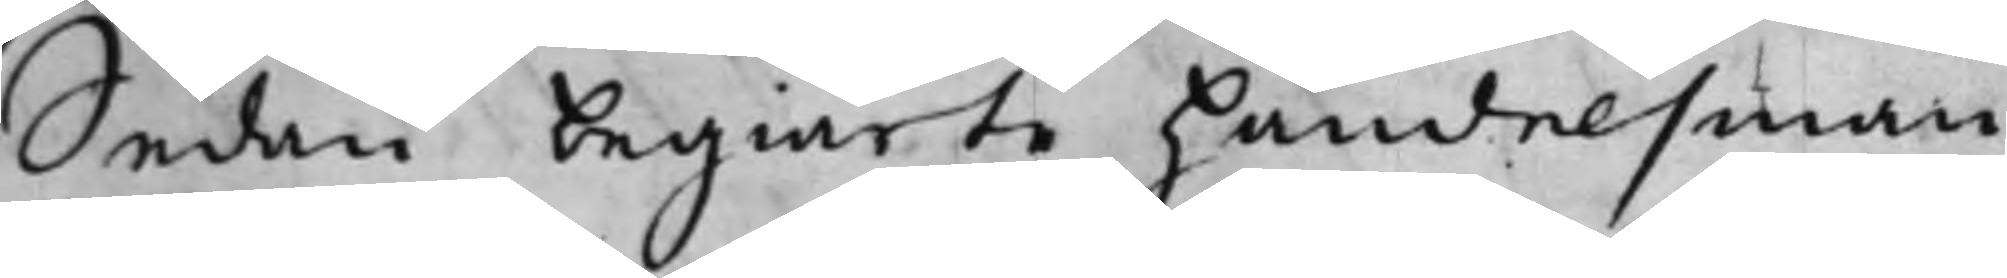Sedan begiärte handelsman
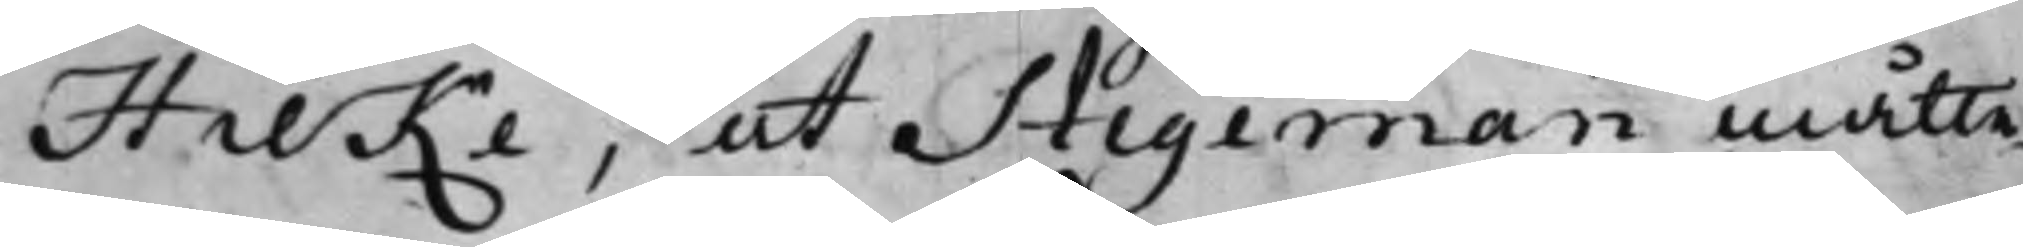Hilke, at Stegeman måtte
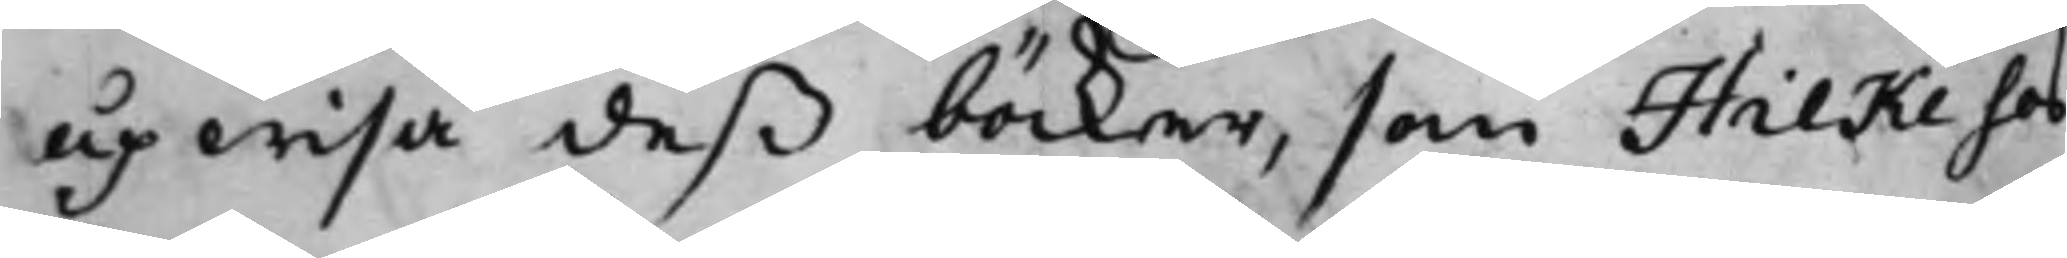upwisa deß böcker, som Hilke hos
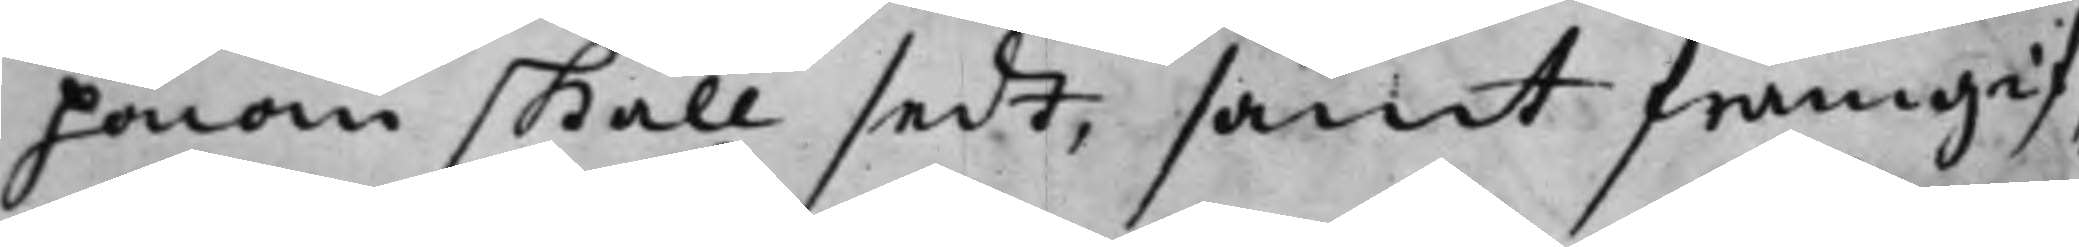honom skall sedt, samt framgif¬
